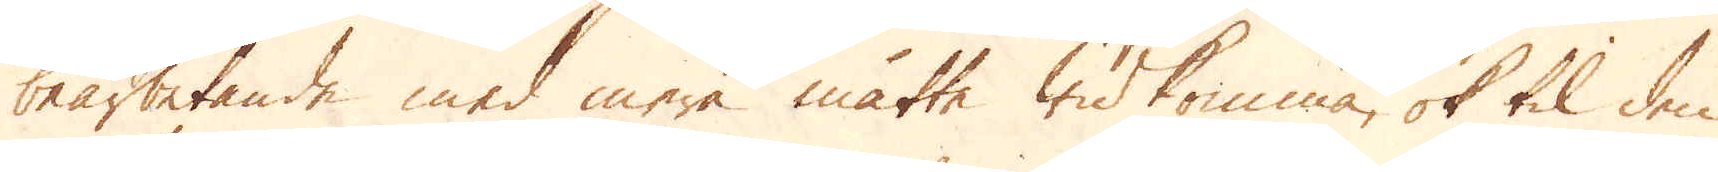bearbetande med mera måtte widkomma, ok til den
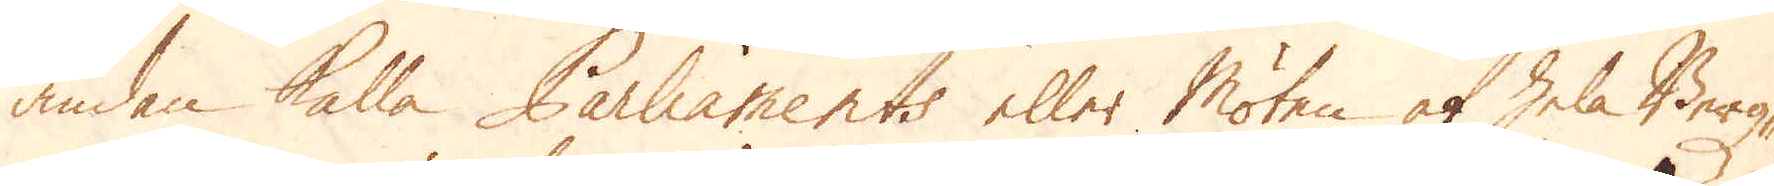ändan kalla Parliaments eller Möten af hela Bergz-
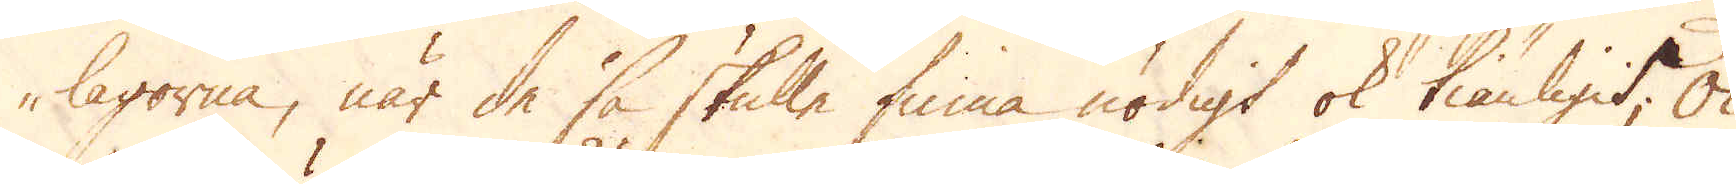lagorna, när de så skulle finna nödigt ok tiänligit; Ok
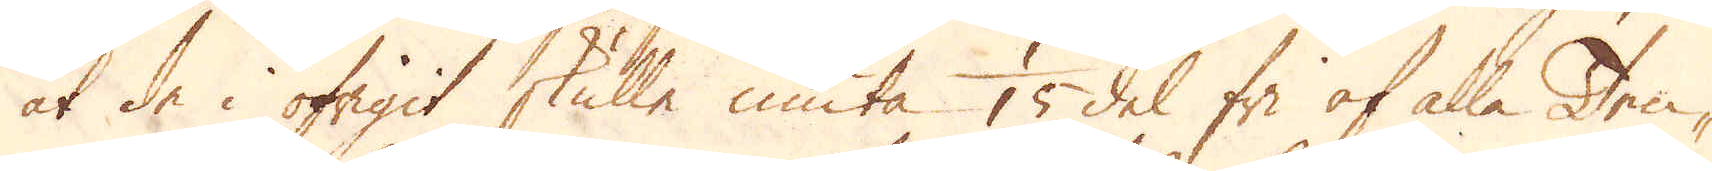at de i öfrigit skulle niuta 1/15 del fri af alla Ten-
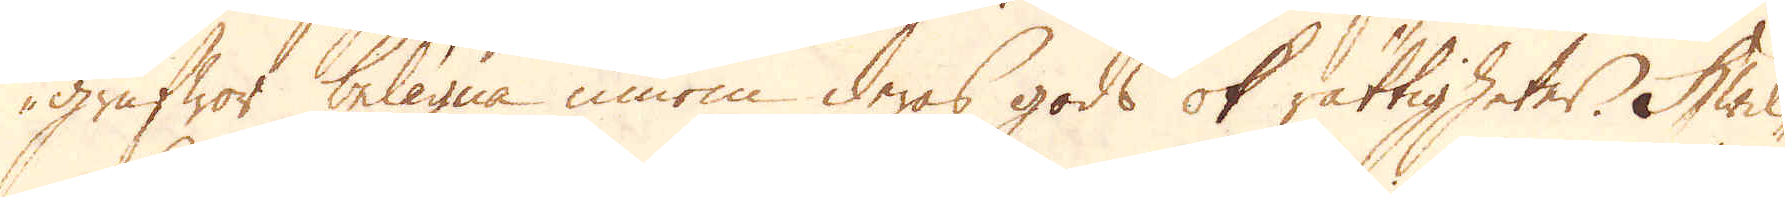grufwor belägna innom deras gods ok rättigheter. Hwil-
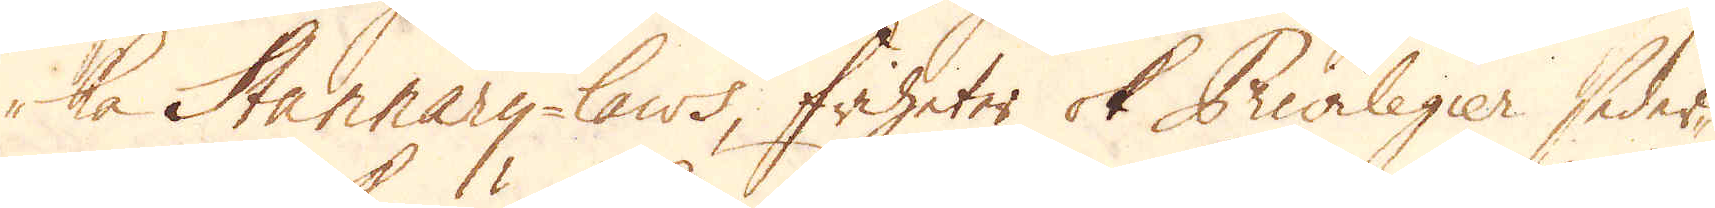ka Stannary-laws, friheter ok Privilegier seder-
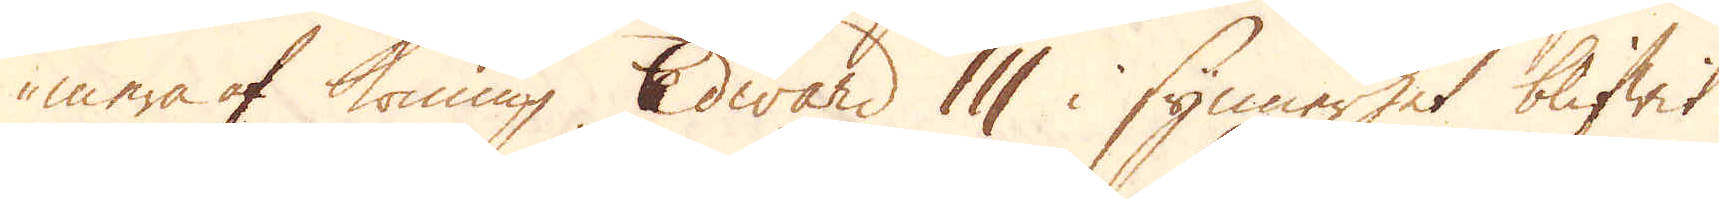mera af Konung Edward III i synnerhet blifwit
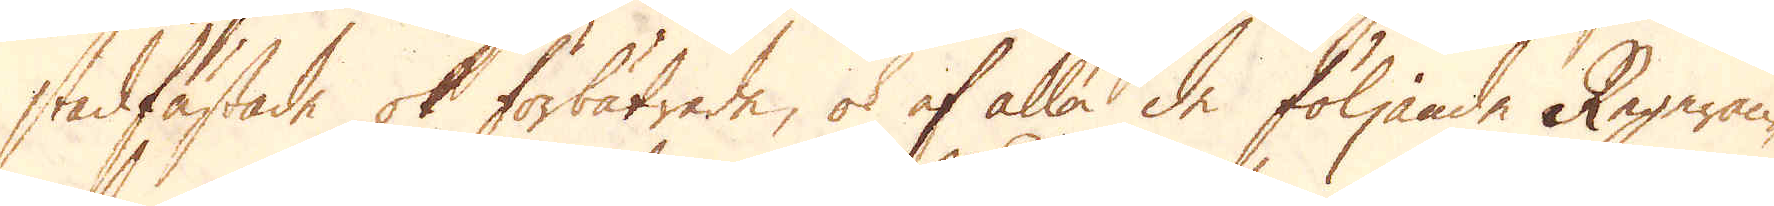stadfästade ok förbätrade, ok af alla de följande Regeran-
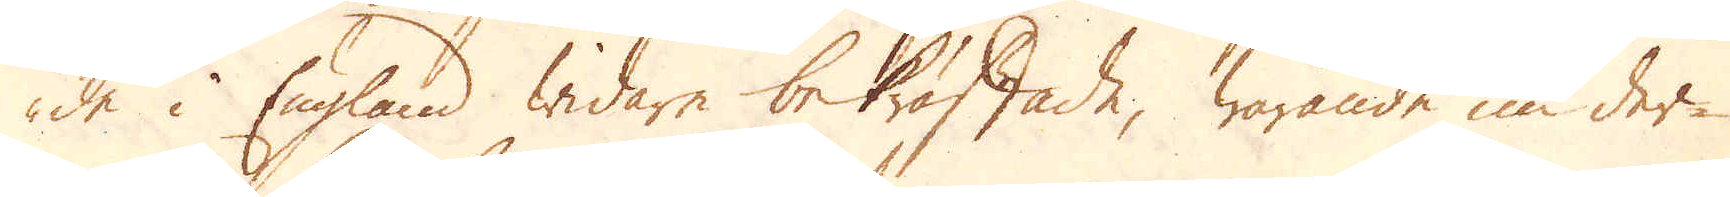de i England widare bekräftade, warande nu der-
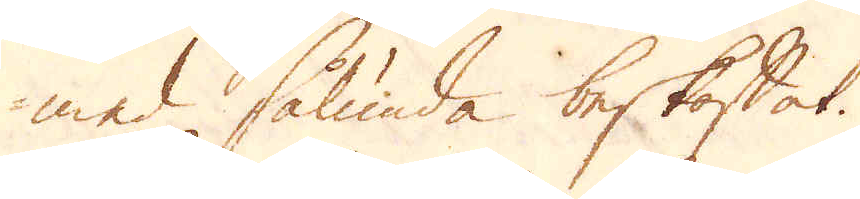med sålunda beskaffat.
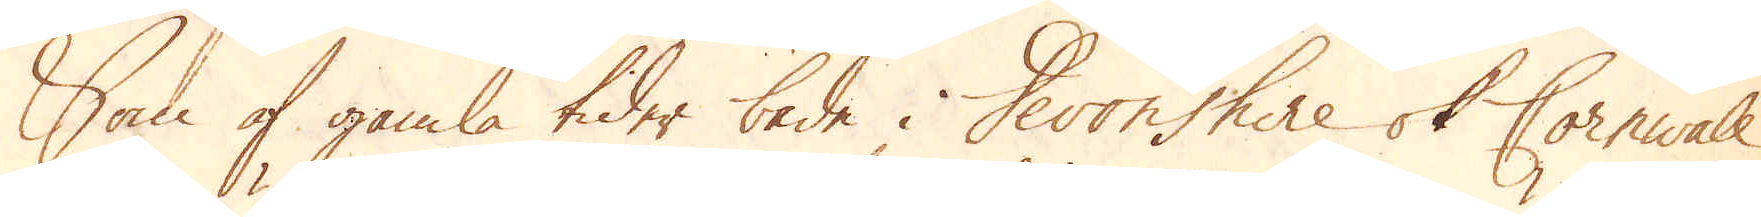Som af gamla tider både i Devonshire ok Cornwall,
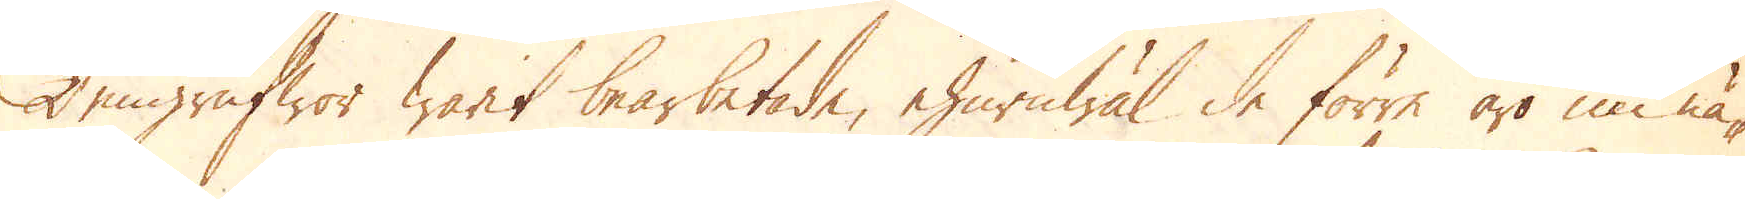Tengrufwor warit bearbetade, ehuruwäl de förra äro nu nä-
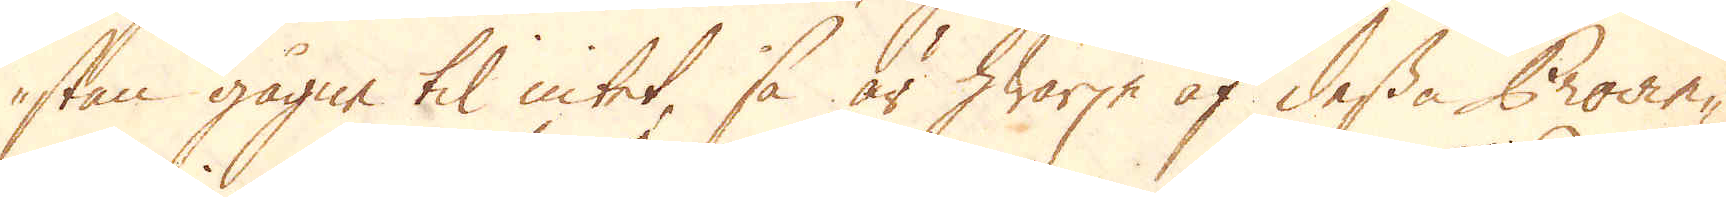stan gågne til intet, så är hwarje af dessa Provin-
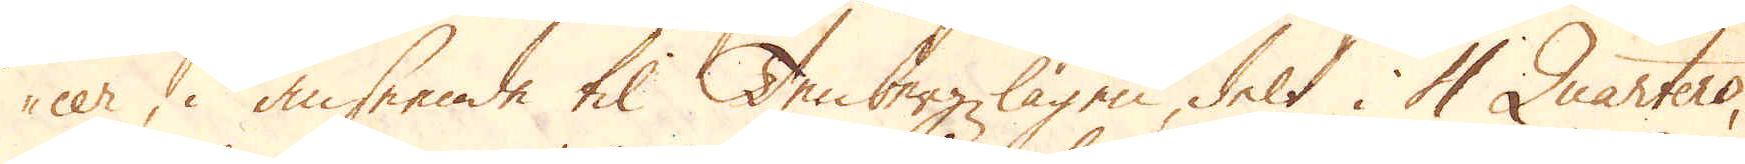cer, i anseende til Tenbergzlagen, delt i 4 Quarters,
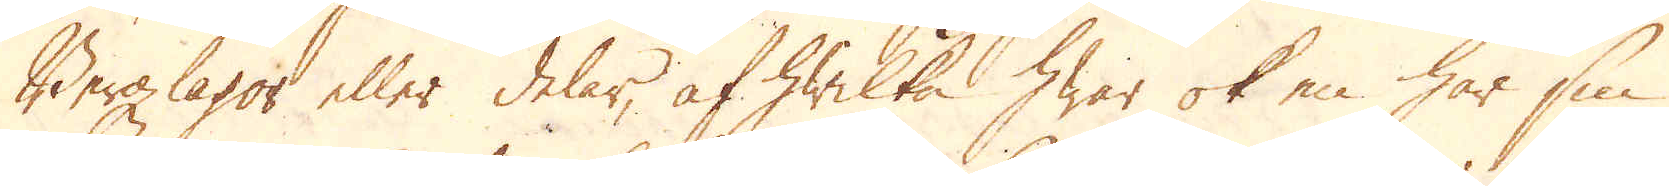Bergzlagor eller delar, af hwilka hwar ok en har sin
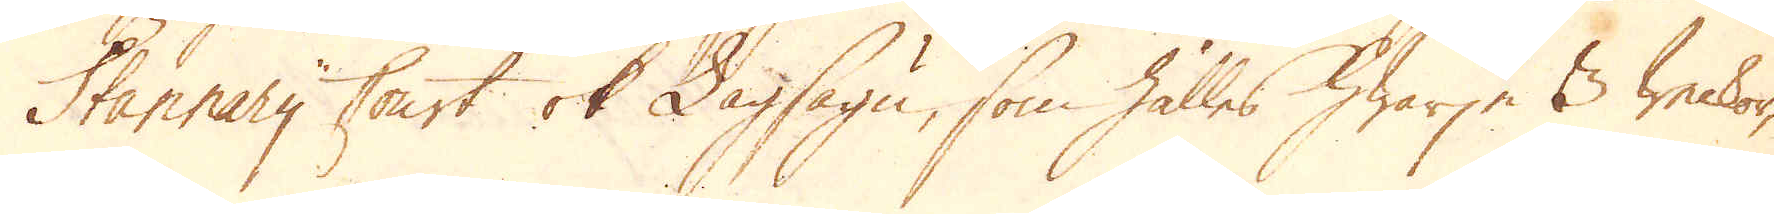Stannary Court ok Lagsägn, som hålles hwarje 3 weckor,
